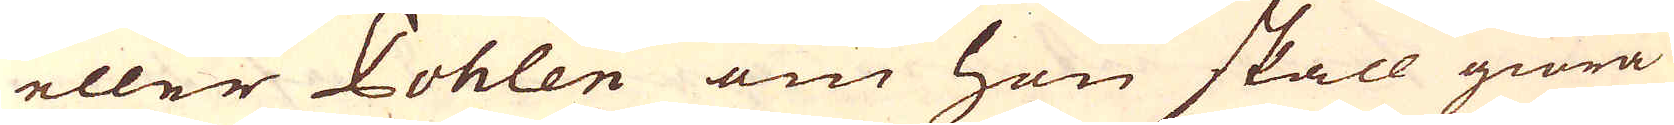eller Pohlen om han skall giöra
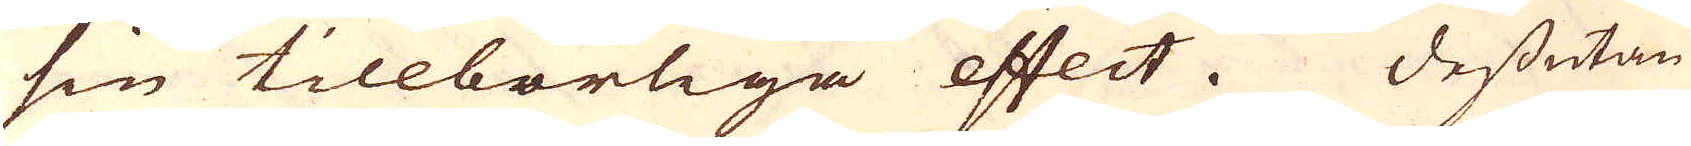sin tillbörliga effect. Dessutan
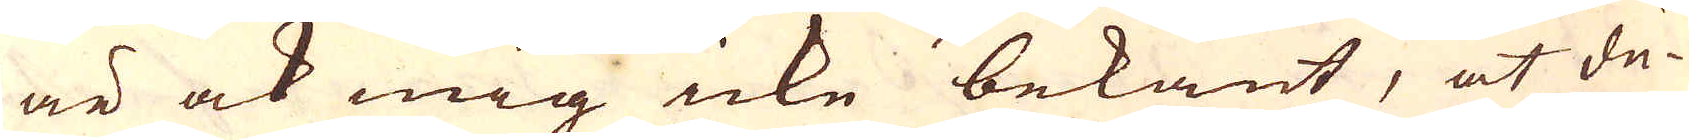är ock mig icke bekant, at du-
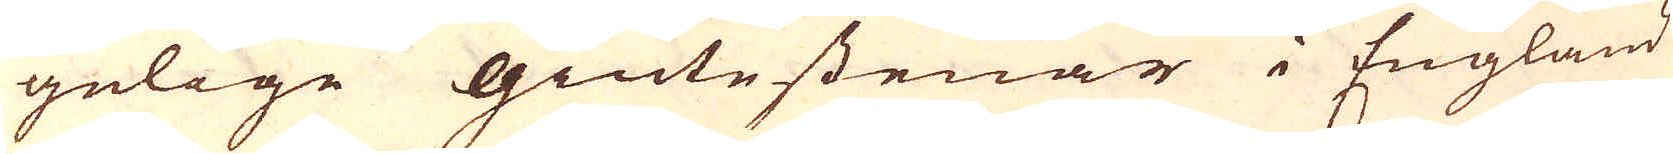gelige giutestenar i England
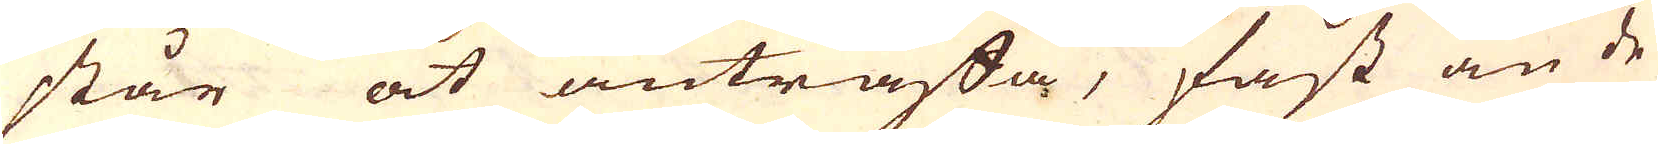står at anträffa, fast än de
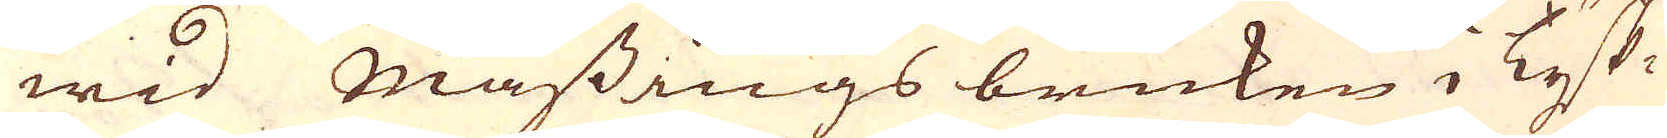wid Mässings bruken i Tysk-
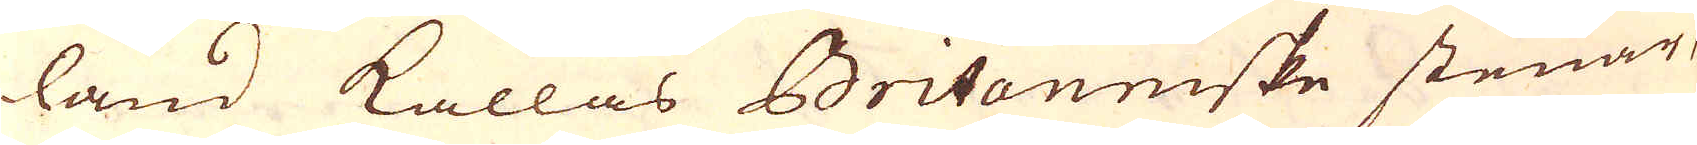land kallas Britaniske stenar,
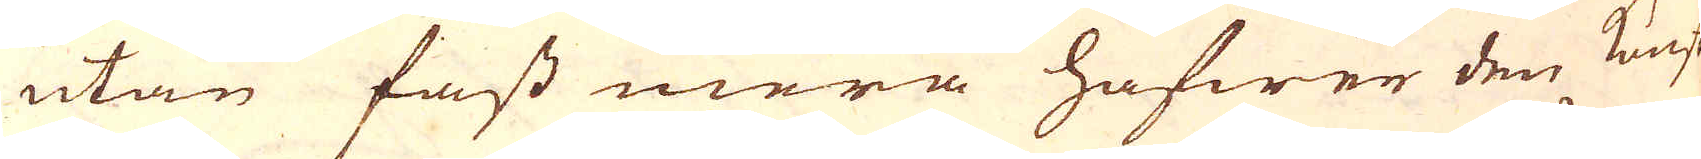utan fast mera hafwer den kunst
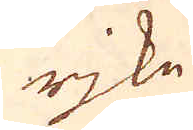rjke
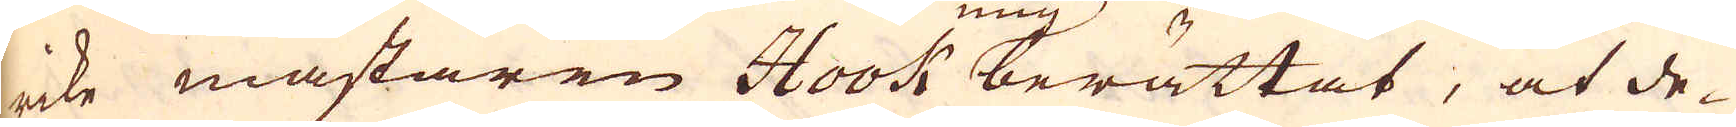rike mästaren Hook berättat, at de-
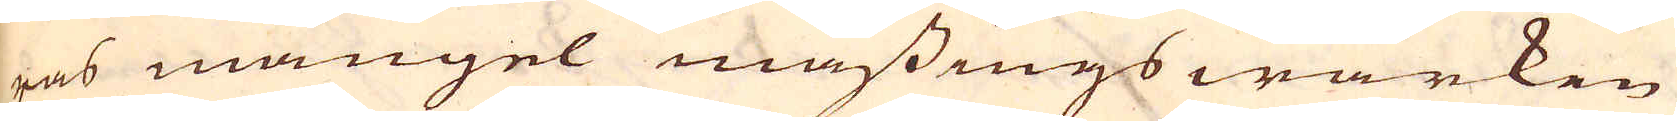ras mangel mässingswärken
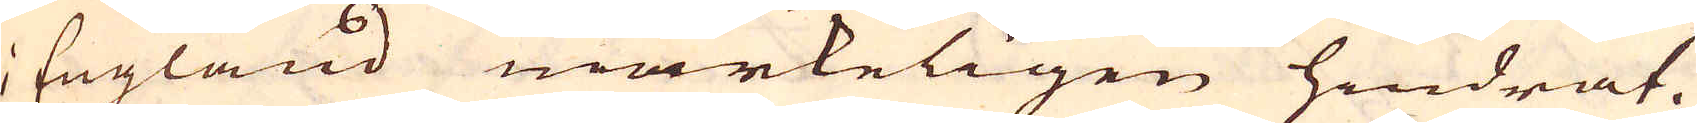i England märkeligen hindrat.
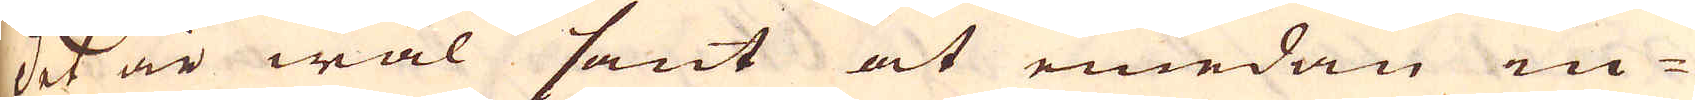Det är wäl sant at emedan in-
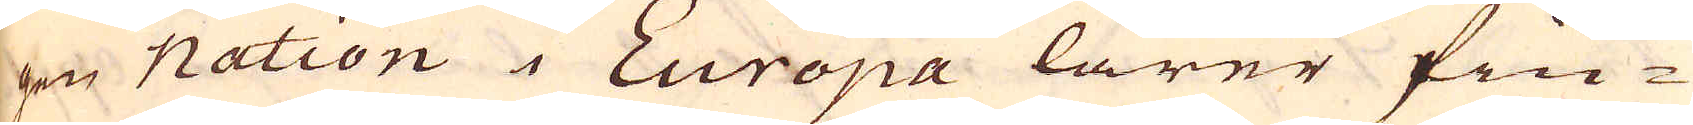gen Nation i Europa lärer fin-
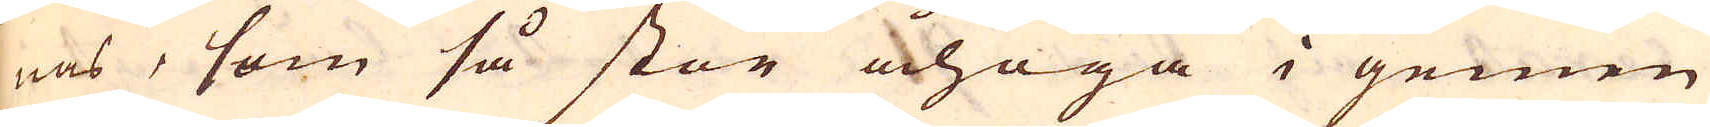nas, som så stor åhoga i gemen
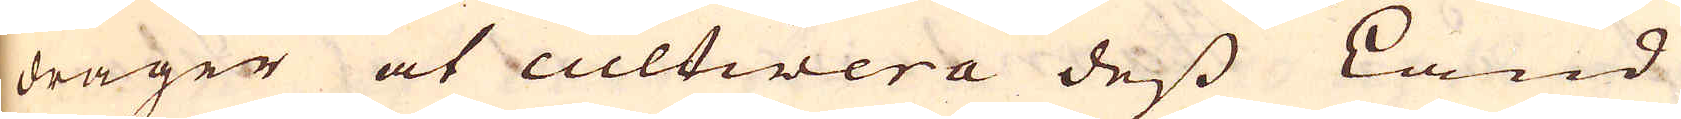drager at cultivera dess Land
